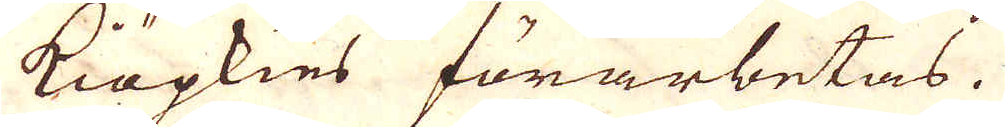kiöpkies förarbetas.
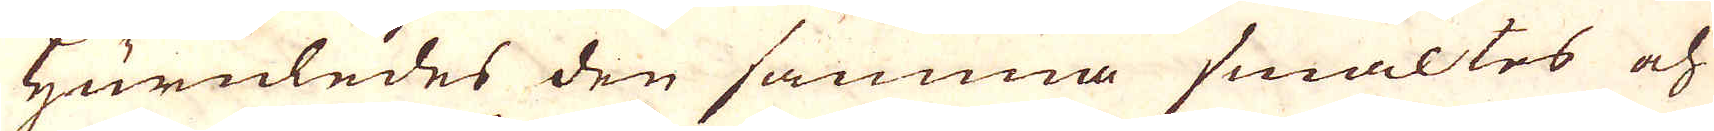Huruledes den samma smältes och
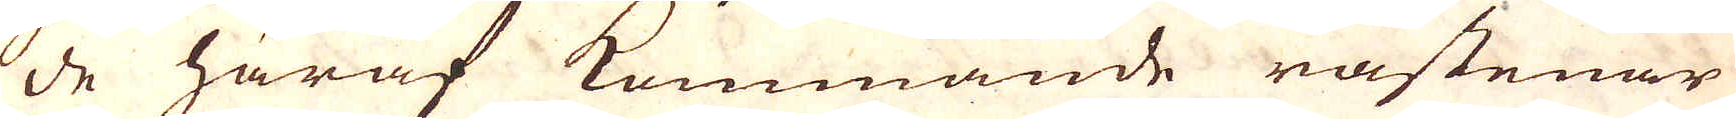de häraf kommande råstenar
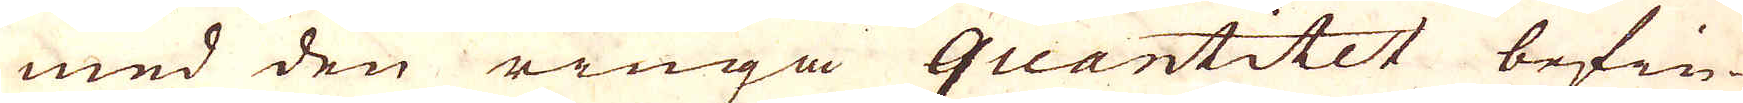med den ringa quantitet befin-
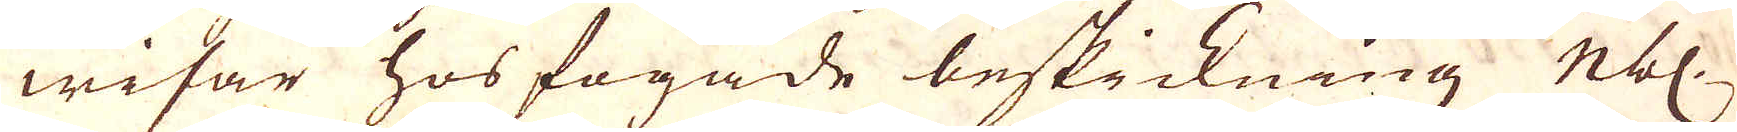wisar hos fogade beskickning Nbl.
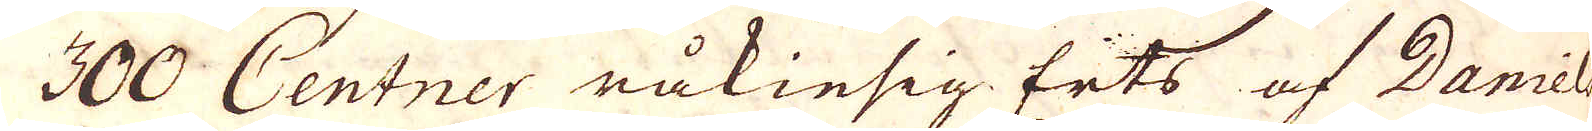300 Centner råkiesig Erts af Daniel
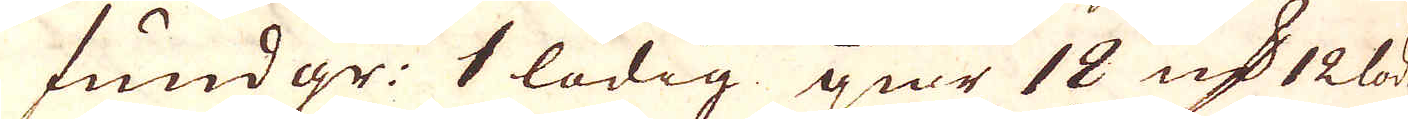fundgr: 1 lödig giör 18 qv:r 12 lod.
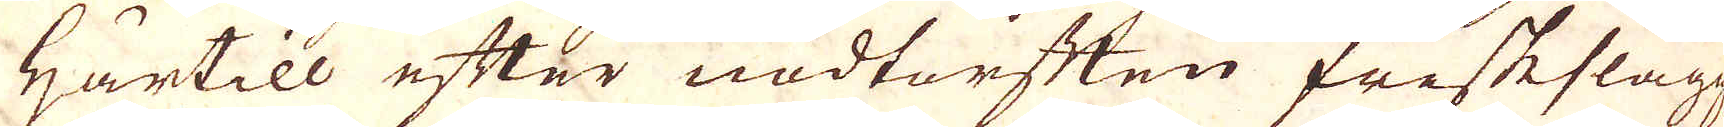Härtill efter nödtorften friskslagg,
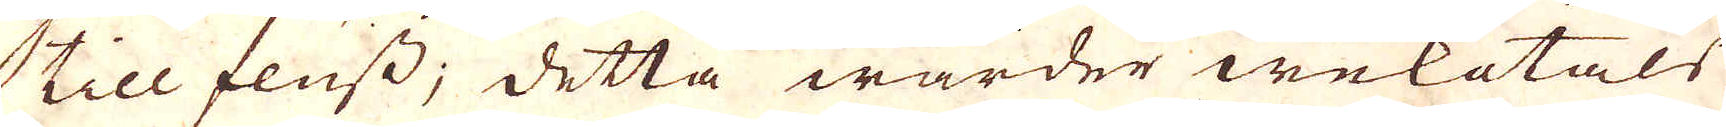till fluss; detta warder weketals
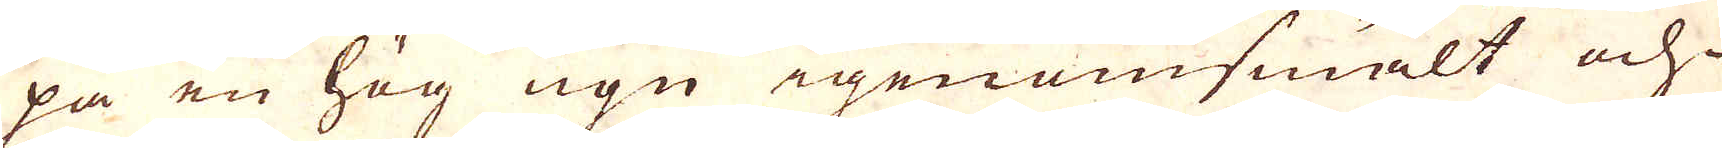på en hög ugn igenomsmält och
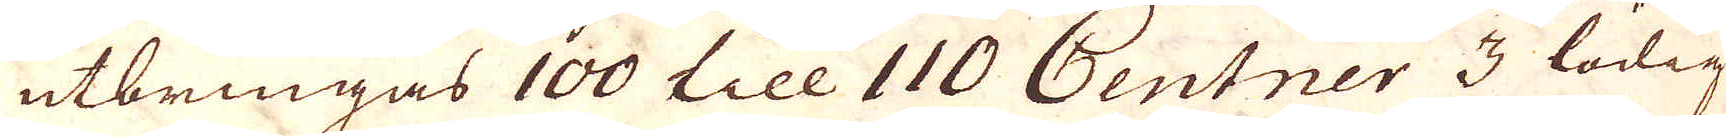utbringas 100 till 110 Centner 3 lodig
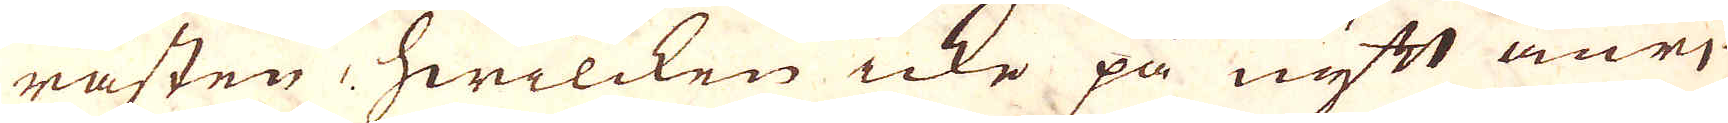råsten, hwilcken icke på nytt anri-
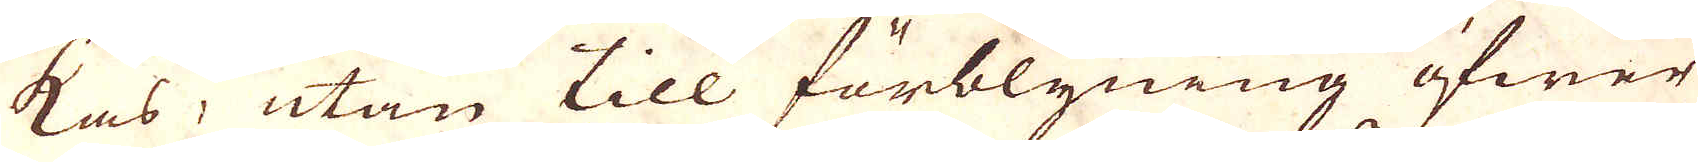kas, utan till förblyning öfwer
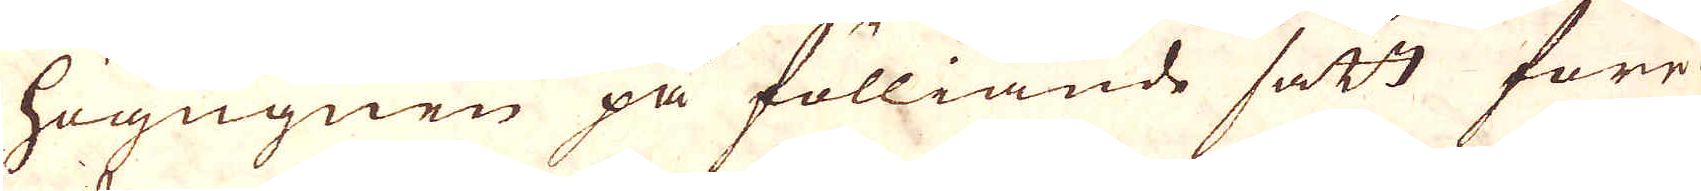högugnen på fölliande sätt före-
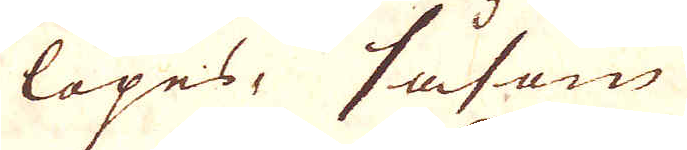löpes, såsom
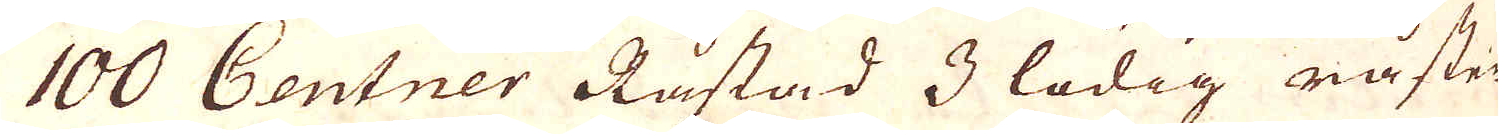100 Centner Råstad 3 lödig råsten
